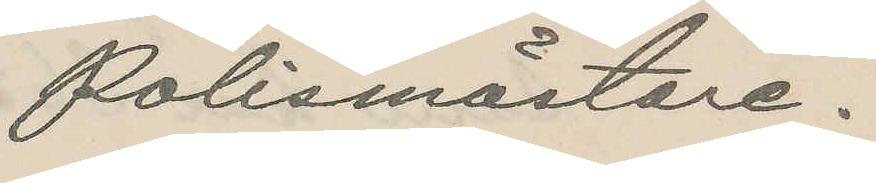Polismästare.
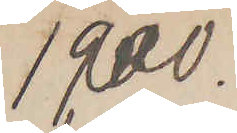1900.
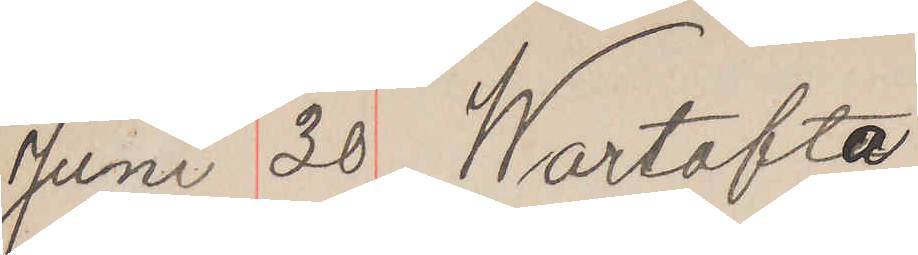Juni 20 Wartofta
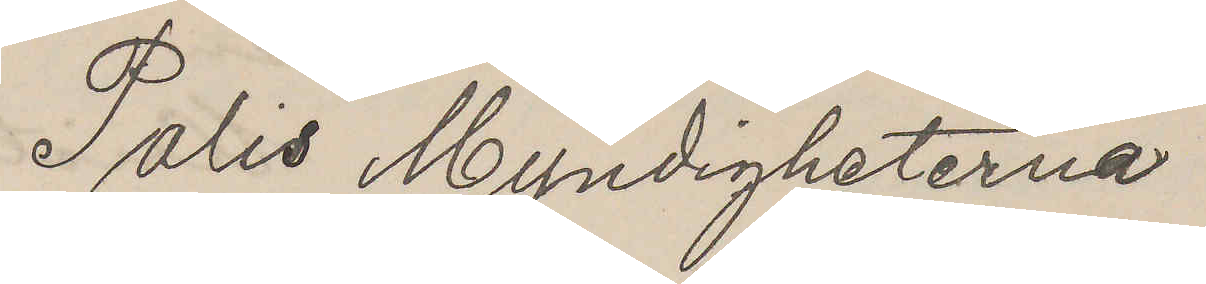Polis Myndigheterna
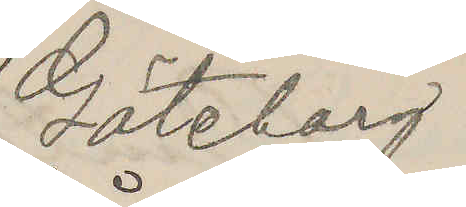Göteborg
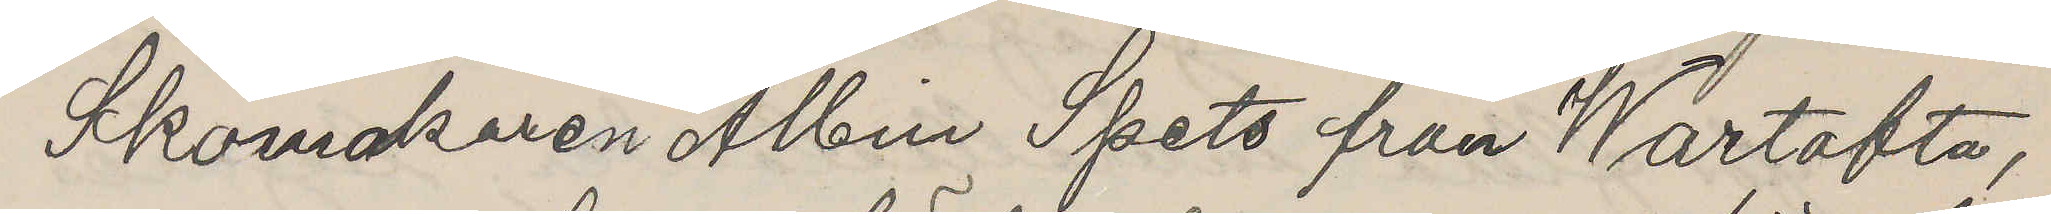Skomakaren Albin Spets från Wartofta,
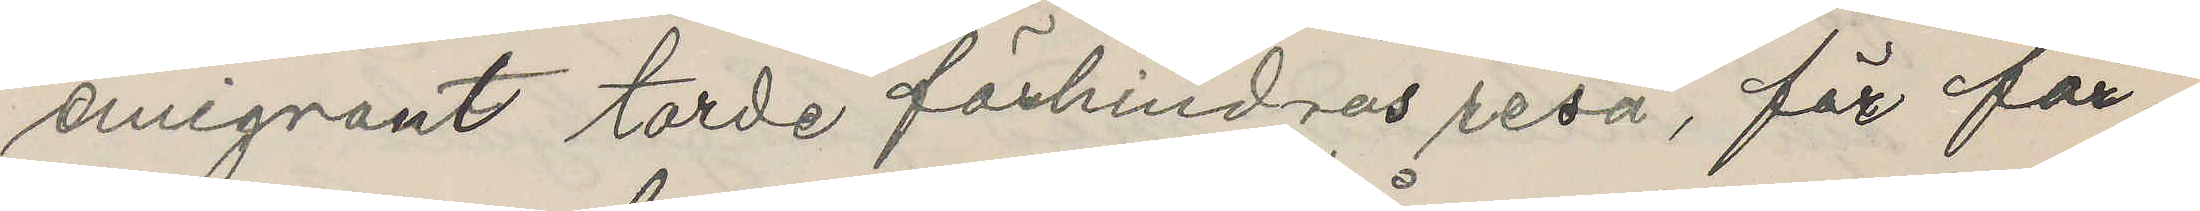emigrant torde förhindras resa, för för¬
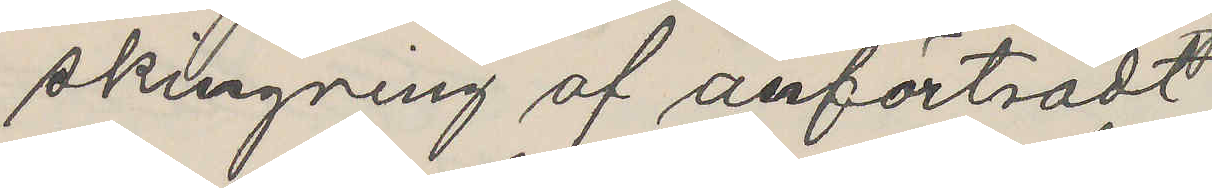skingring af anförtsadt
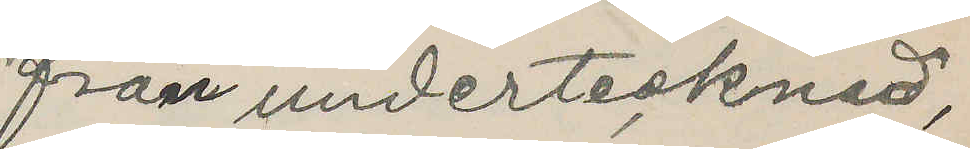från undertecknad;
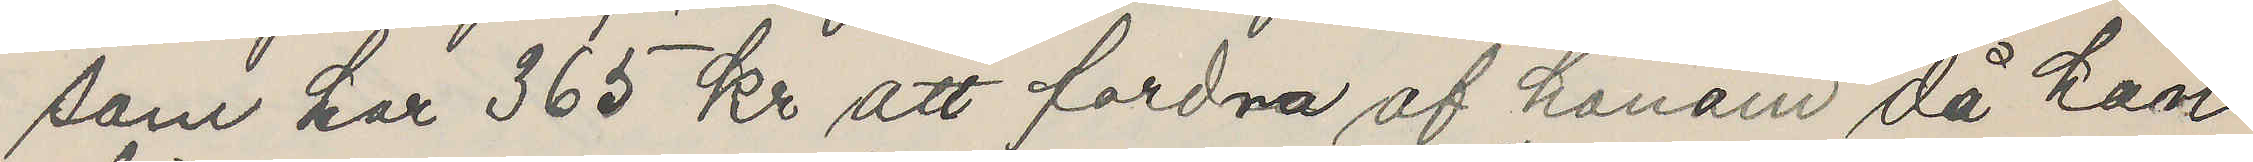som har 365 kr att fordra af honom då kan
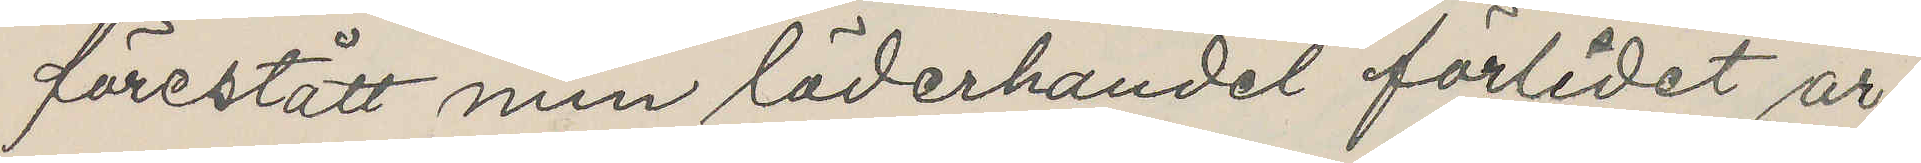förestått min läderhandel förlidet är
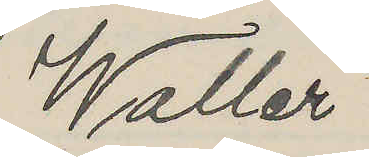Waller
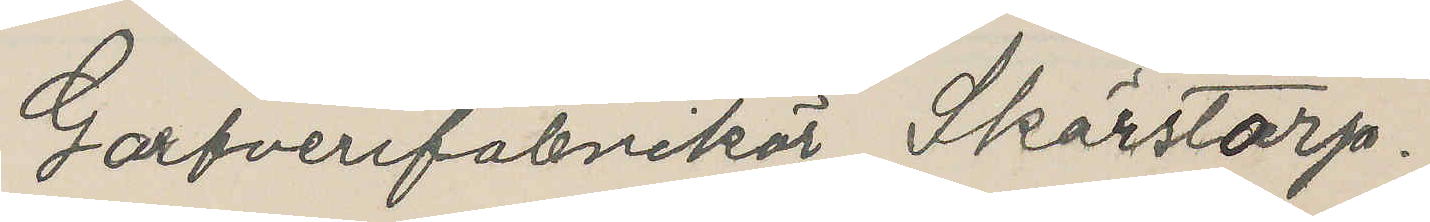Garfverifabrikör Skärstorp.
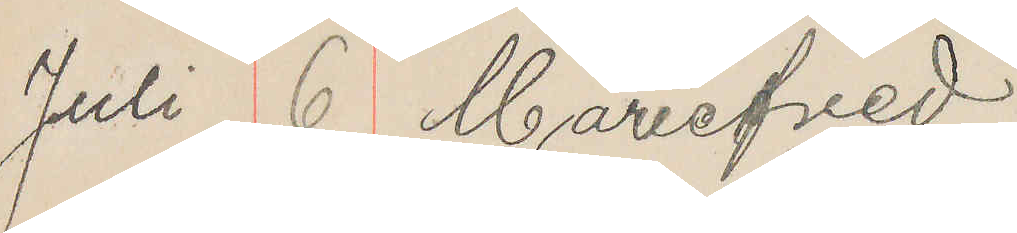Juli 6 Mariefred
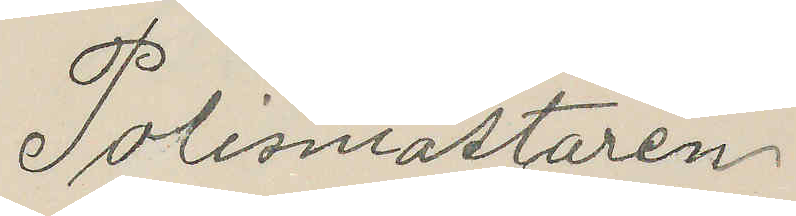Polismästaren
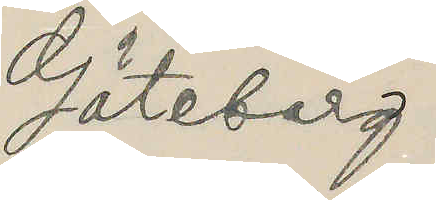Göteborg
